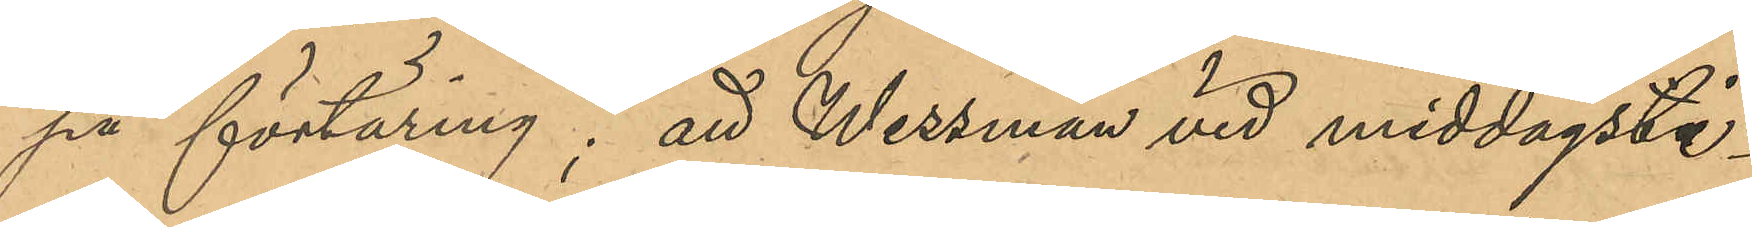på förtäring; att Wessman vid middagsti¬
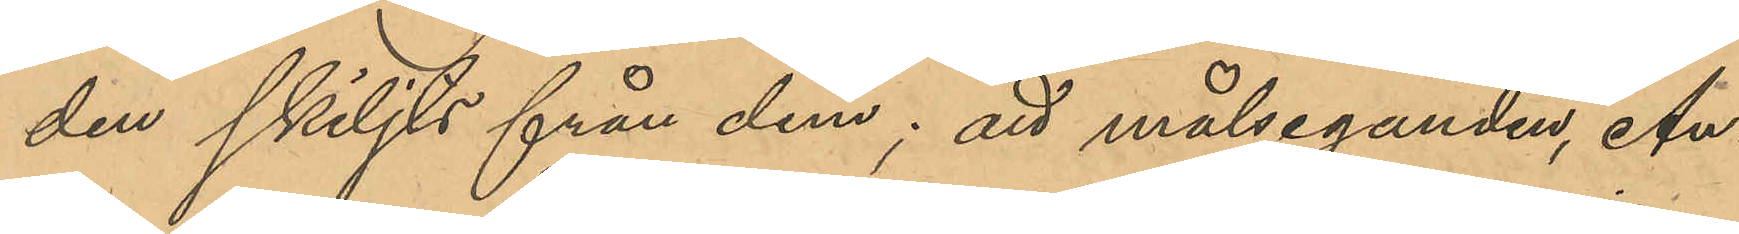den skiljts från dem; att målseganden, An¬
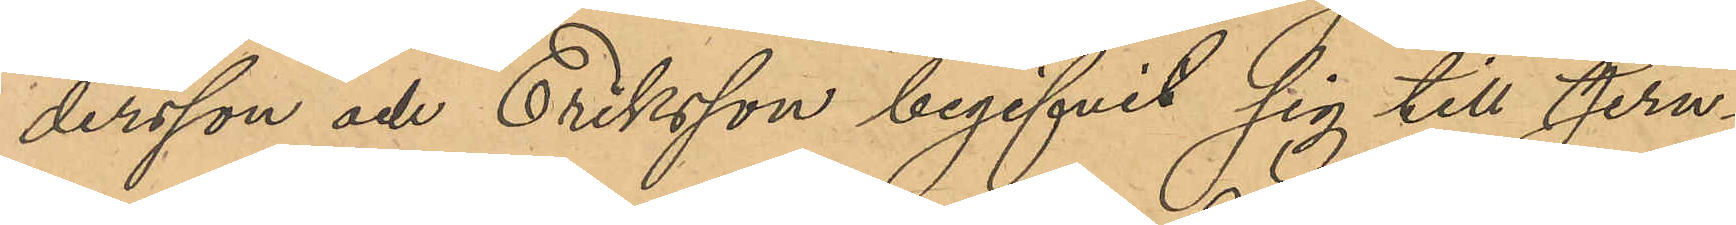dersson och Eriksson begifvit sig till Jern¬
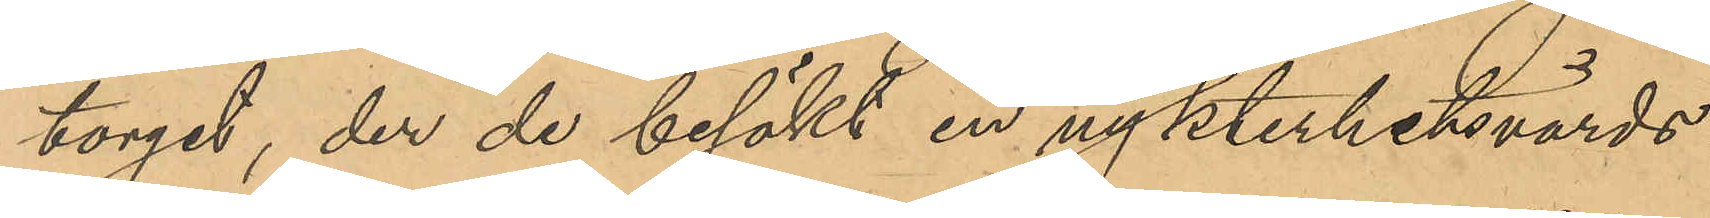torget, der de besökt en ny nykterhetsvärds¬
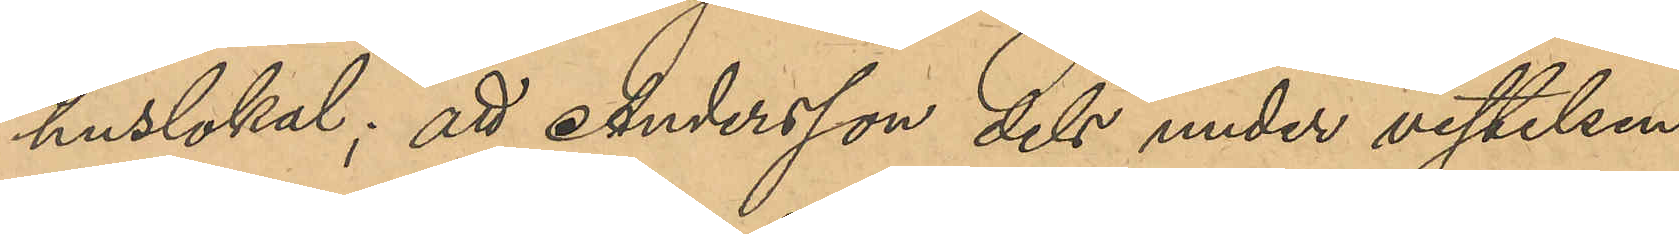huslokal; att Andersson dels under vistelsen
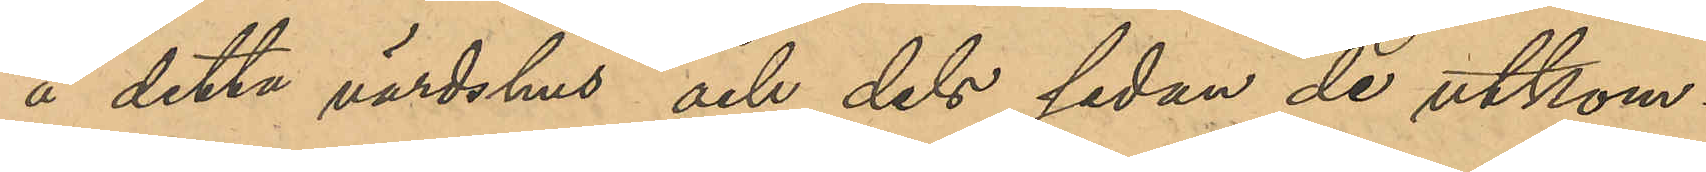å detta värdshus och dels sedan de utkom¬
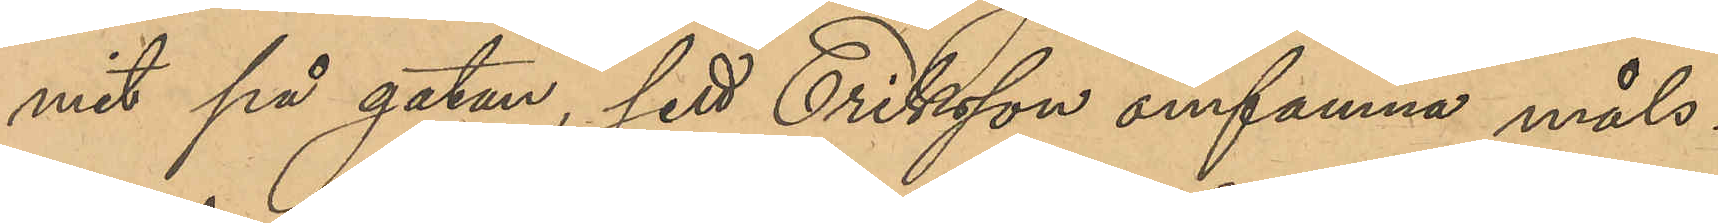mit på gatan, sett Eriksson omfamna måls¬
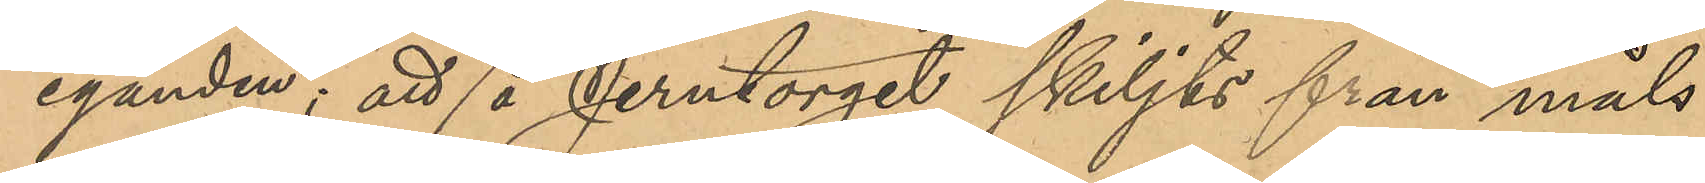eganden; att de å Jerntorget skiljts från måls¬
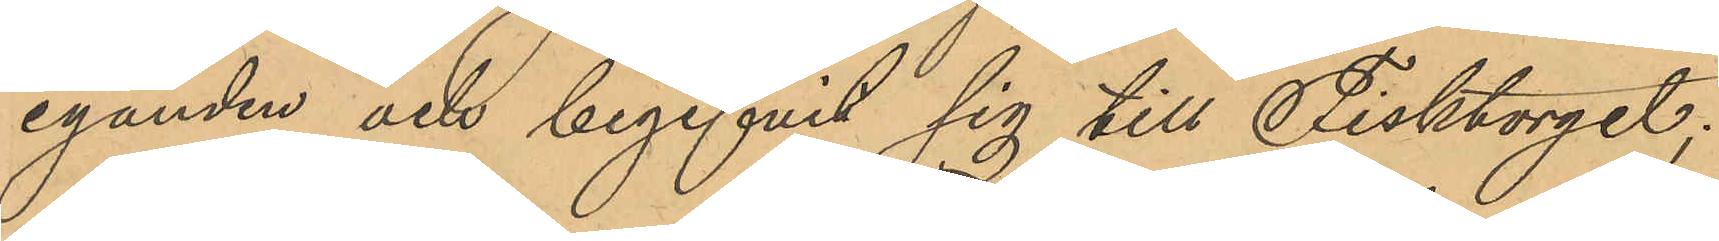eganden och begifvit sig till Fisktorget;
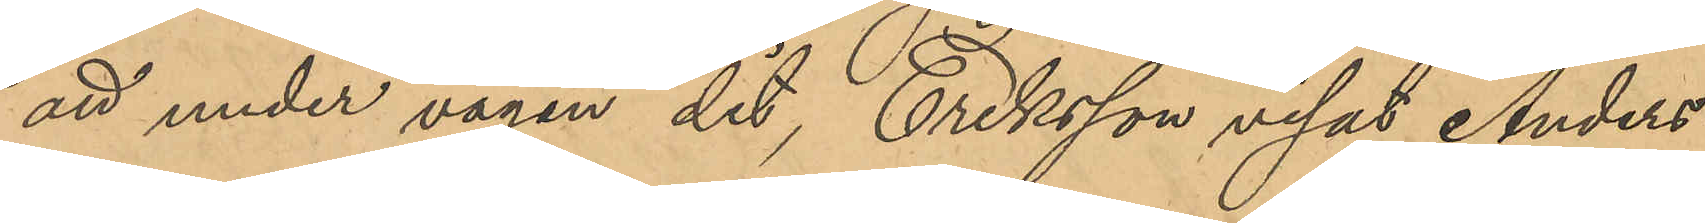att under vägen dit, Eriksson visat Anders¬
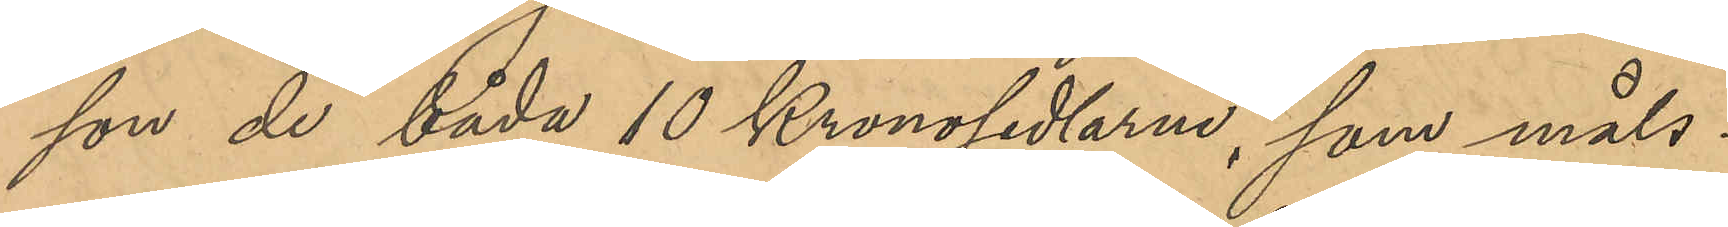son de båda 10 Kronosedlarna, som måls¬
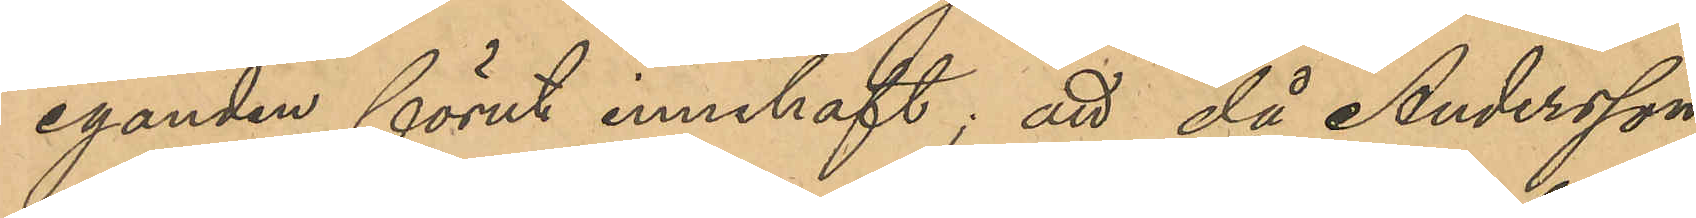eganden förut innehaft, att då Andersson
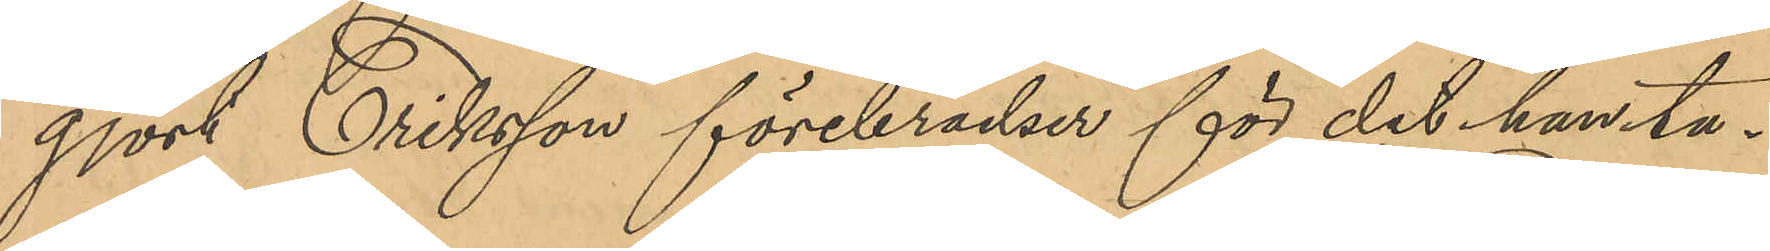gjort Eriksson förebråelser för det han ta¬
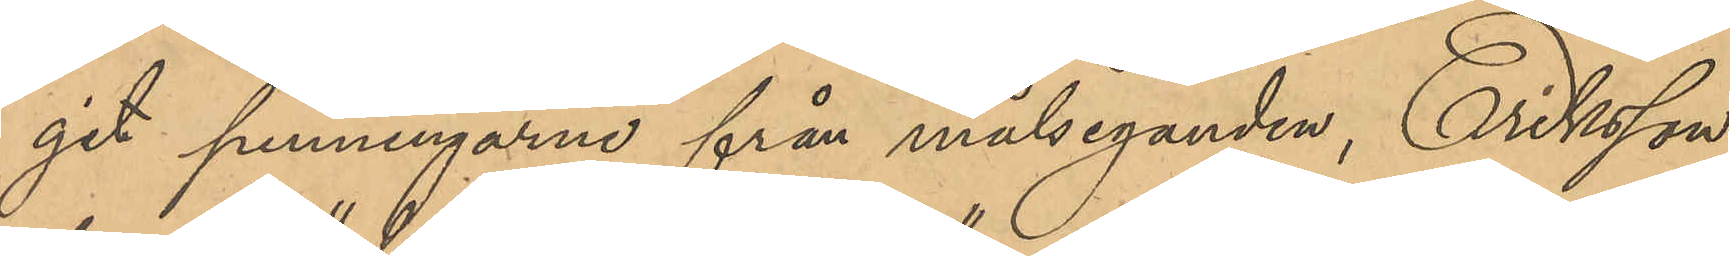git penningarne från målseganden, Eriksson
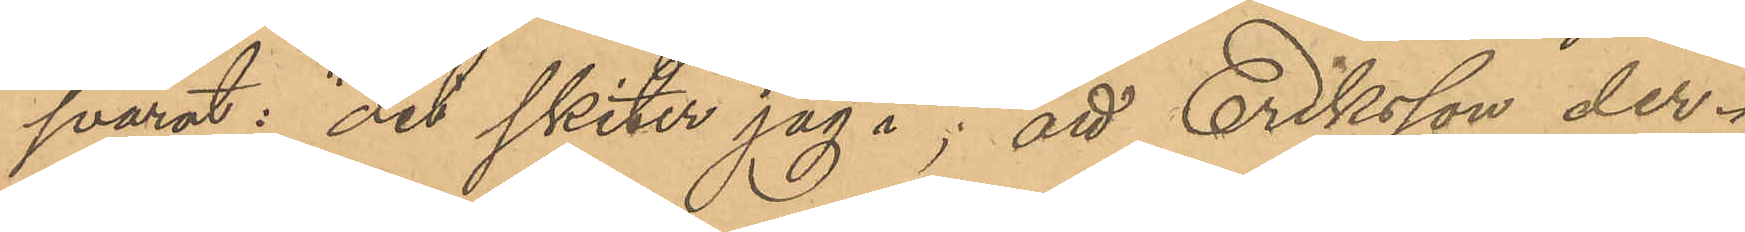svarat,"det skiter jag i"; att Eriksson der¬
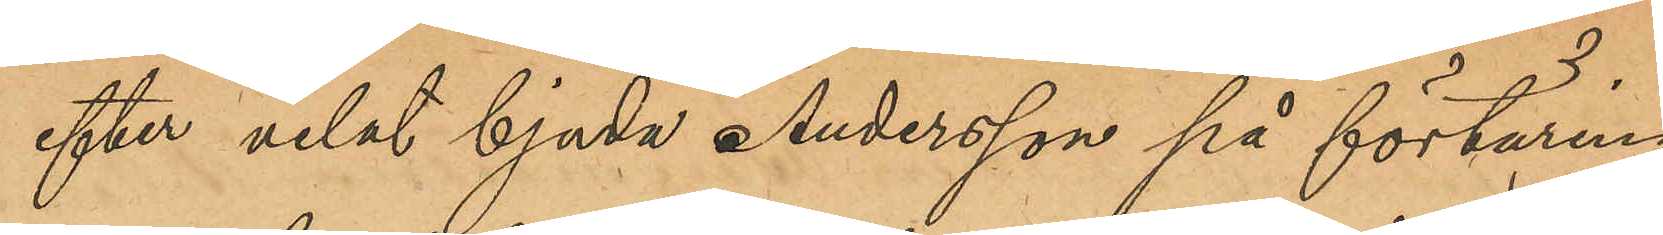efter velat bjuda Anderson på förtäring,
